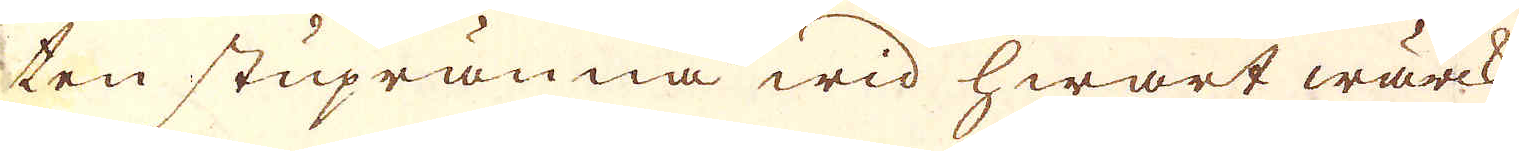ten stupränna wid hwart wärck
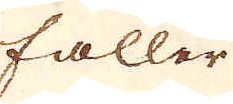faller
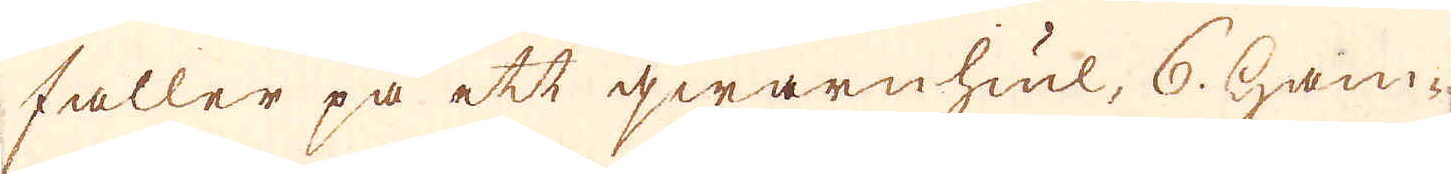faller på ett qwarnhiul, 6. ham-
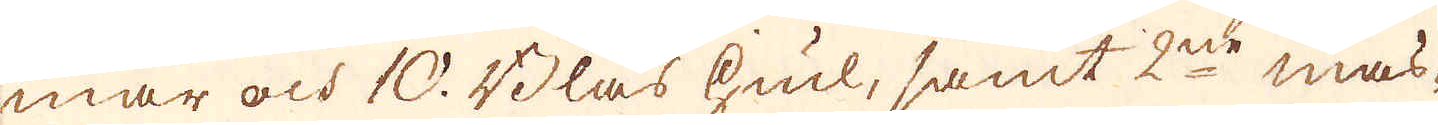mar och 10. Blås hiul, samt 2ne mas-
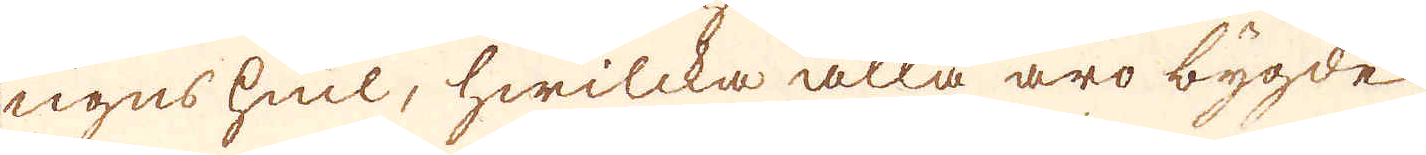ugns hiul, hwilcka alla äro bygde
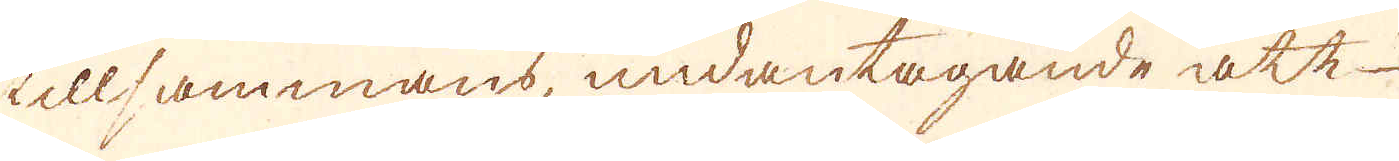tillsammans, undantagande att
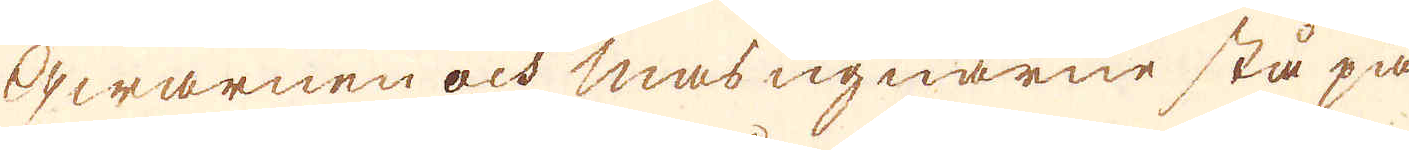qwarnen och masugnarne stå på
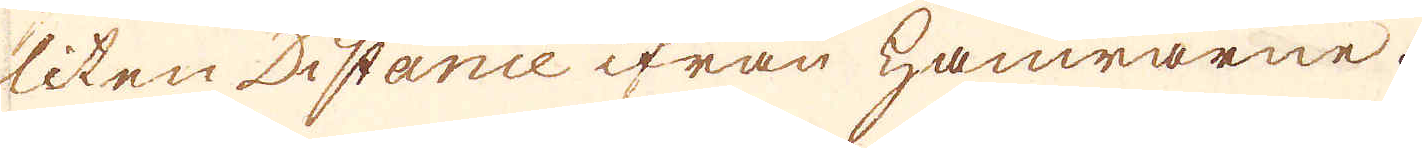liten Distance ifrån hamrarne.
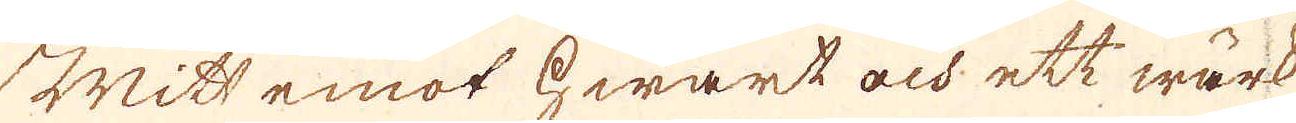Mitt emot hwart och ett wärk
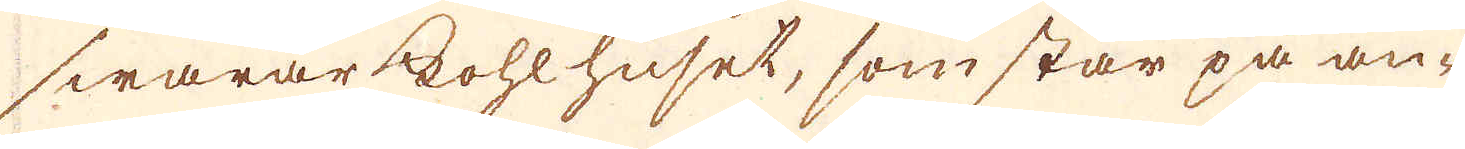swarar kohlhuset, som står på an-
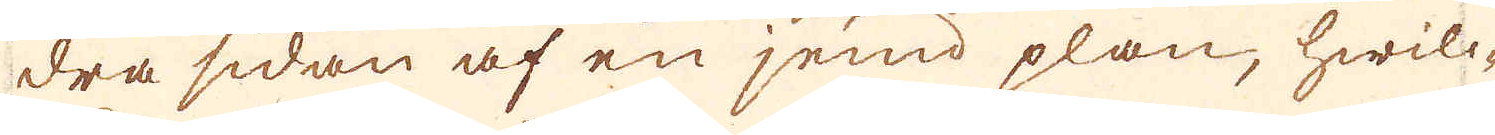dra sidan af en jemd plan, hwilc-
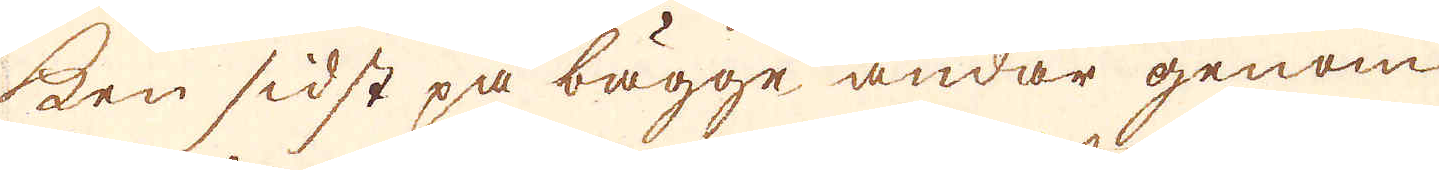ken sidst på bägge ändar genom
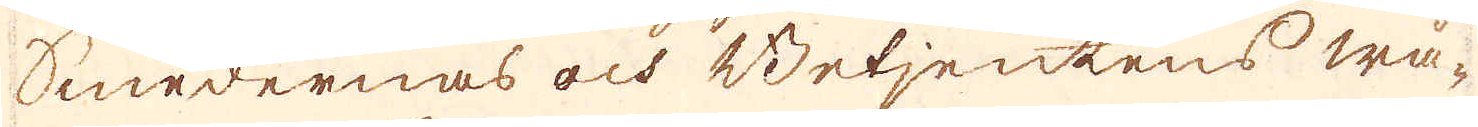Smedernas och Betjentens wå-
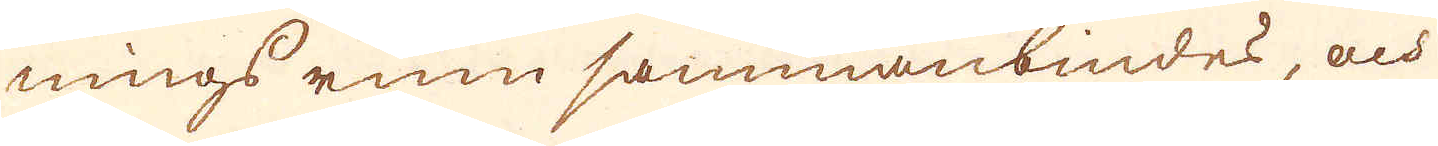nings rum sammanbindes, och
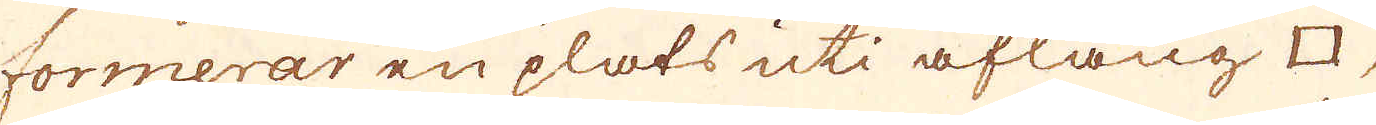formerar en plats uti aflång □,
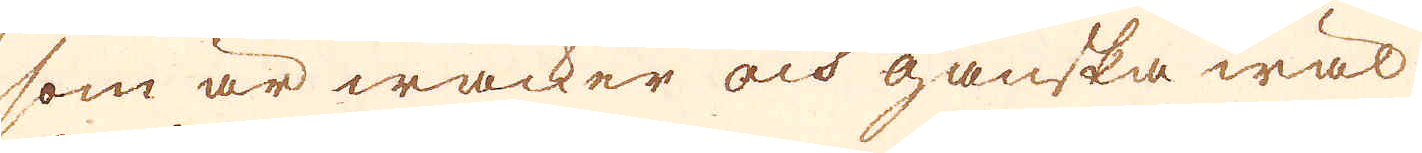som är wacker och ganska wäl
